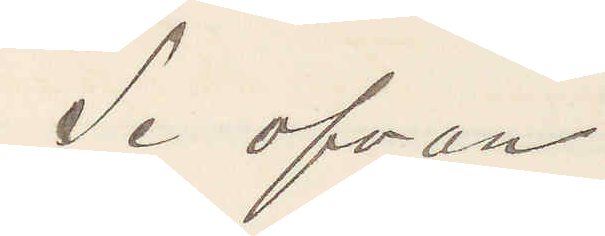Se ofvan
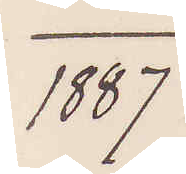1887
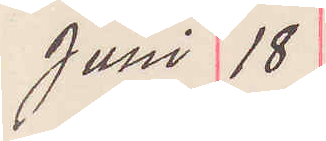Juni 18
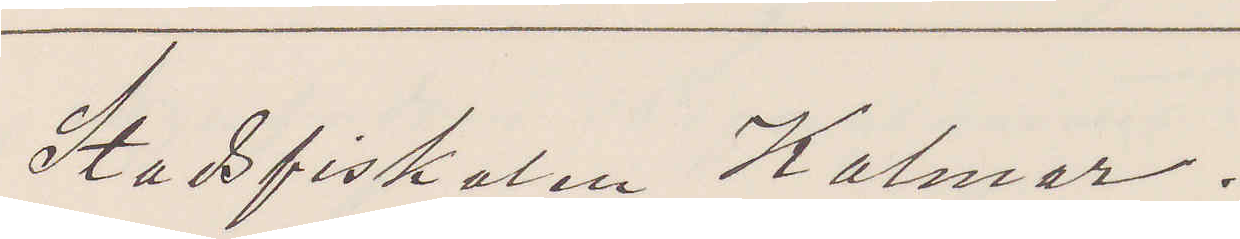Stadsfiskalen Kalmar.
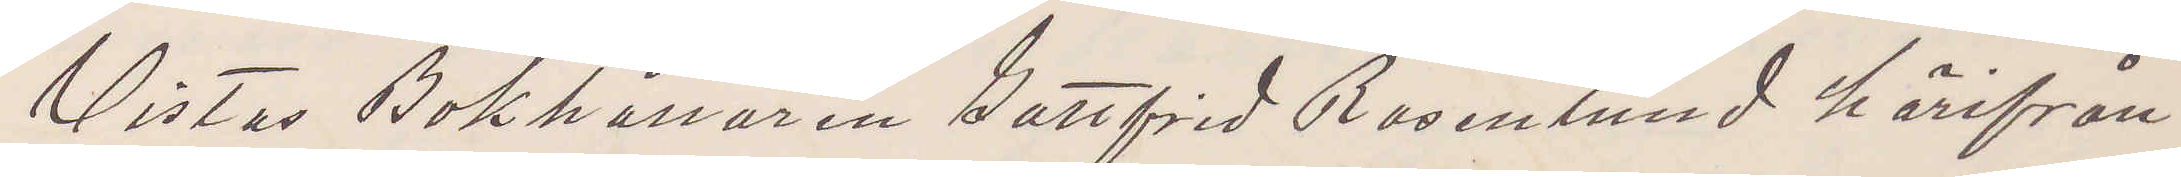Vistas Bokhållaren Gottfrid Rosenlund härifrån
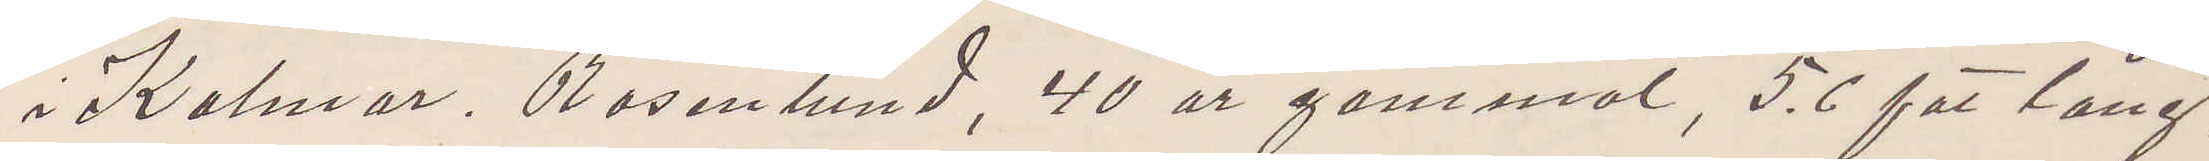i Kalmar, Rosenlund 40 år gammal, 5.6 fot lång,
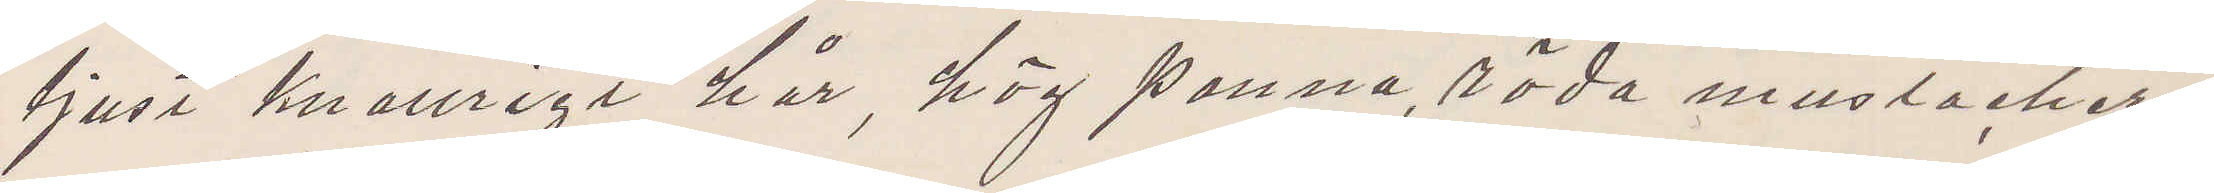ljust knallrigt hår, hög panna, röda mustacher,
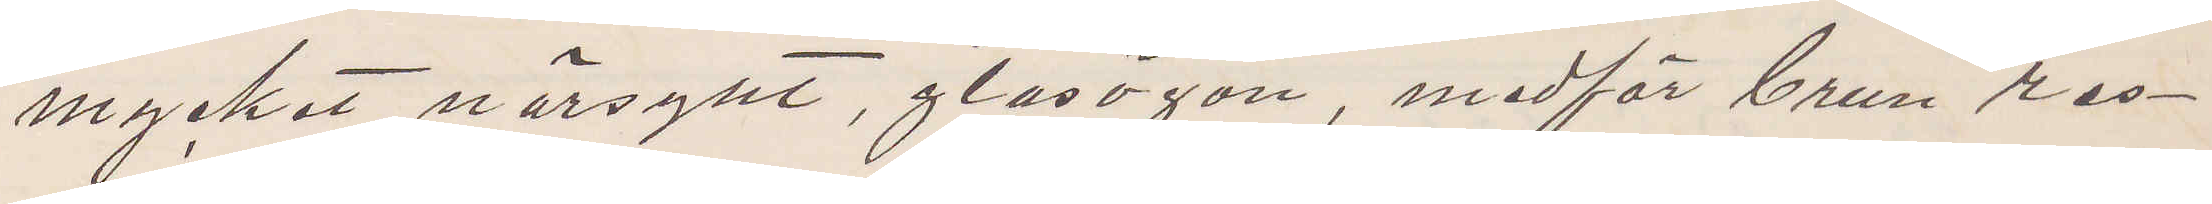mycket närsynt, glasögon, medför brun res¬
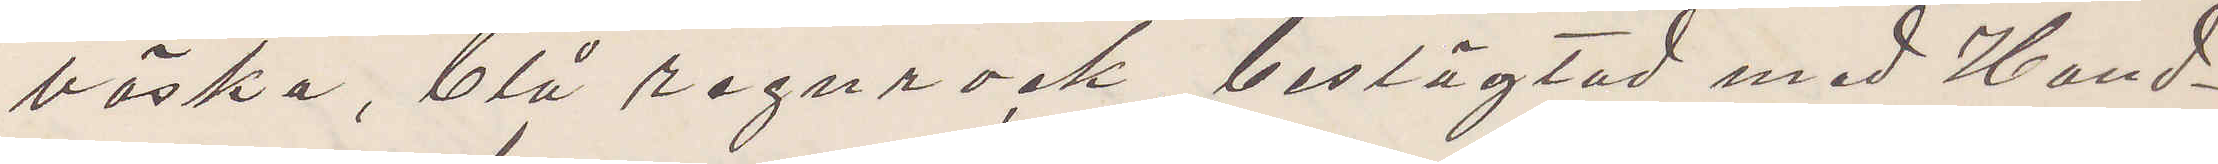väska, blå regnrock, beslägtad med Hand¬
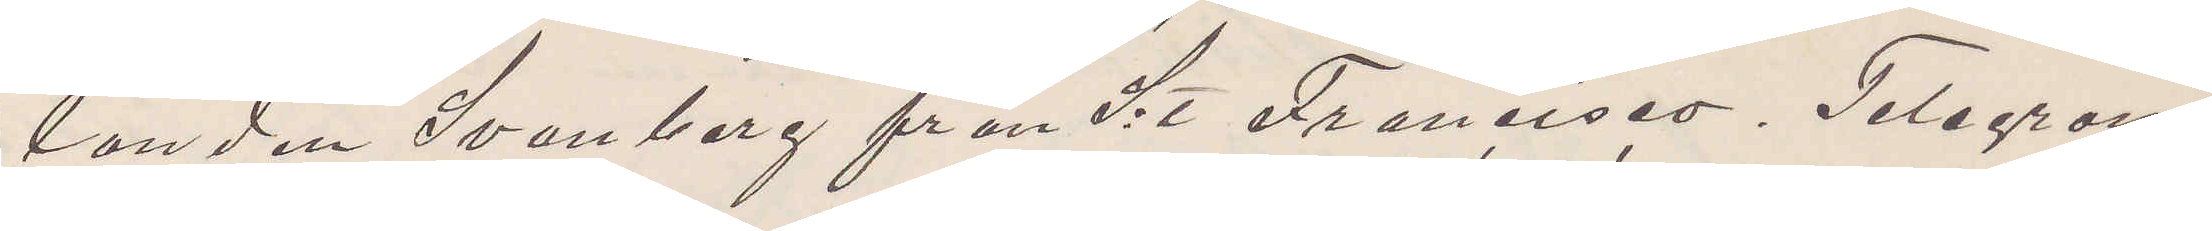landen Svanberg från S:t Francisco. Telegram¬
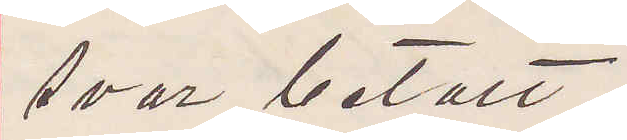svar betalt.
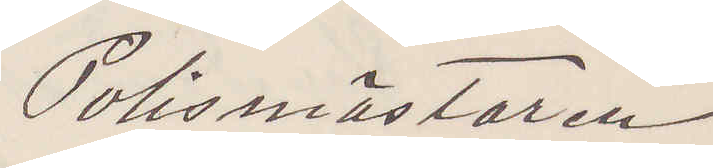Polismästaren
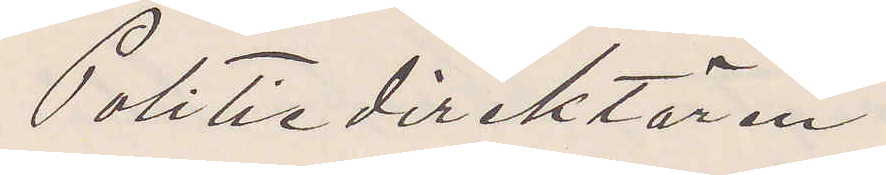Politiedirektören
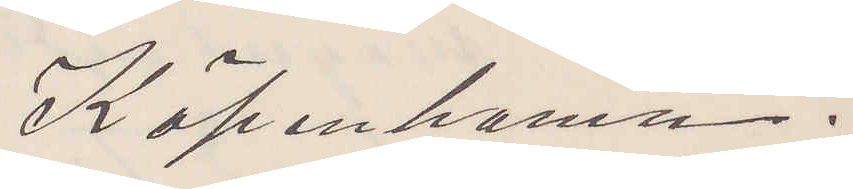Köpenhamn.
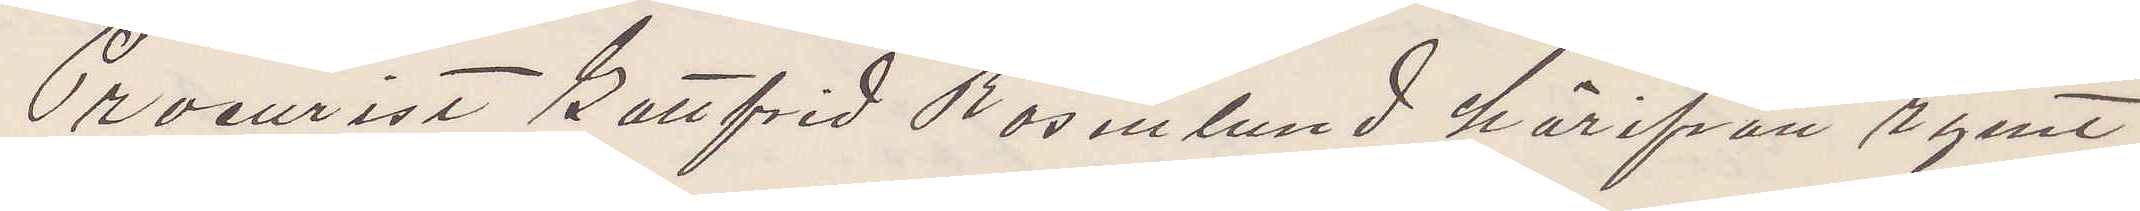Procurist Gottfrid Rosenlund härifrån rymt
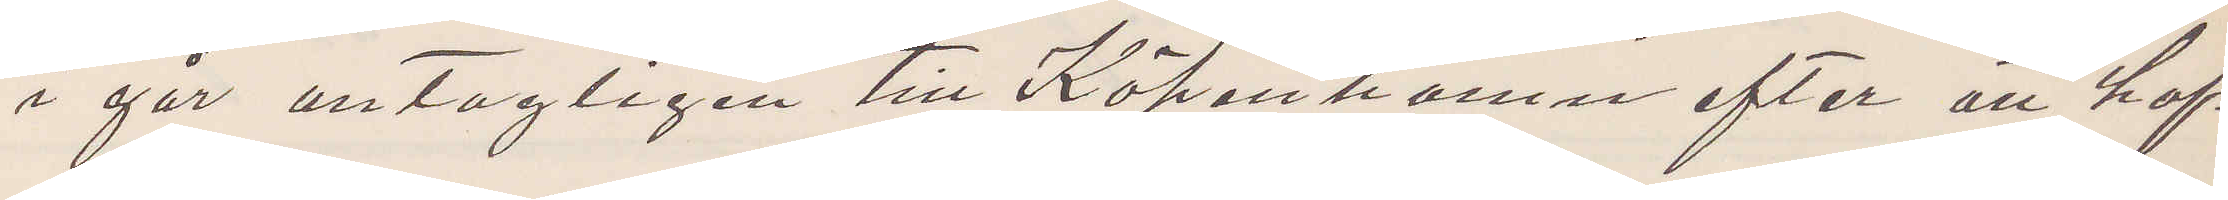i går antagligen till Köpenhamn efter att haf¬
